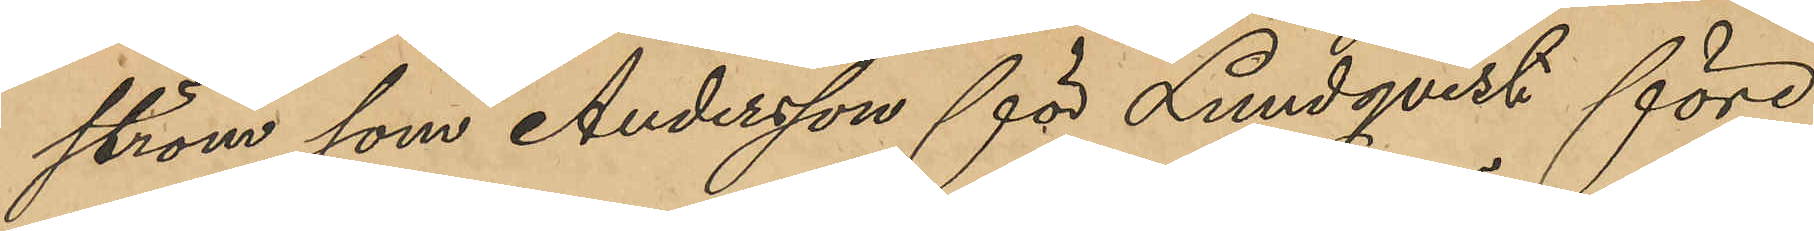ström som Andersson för Lundqvist före¬
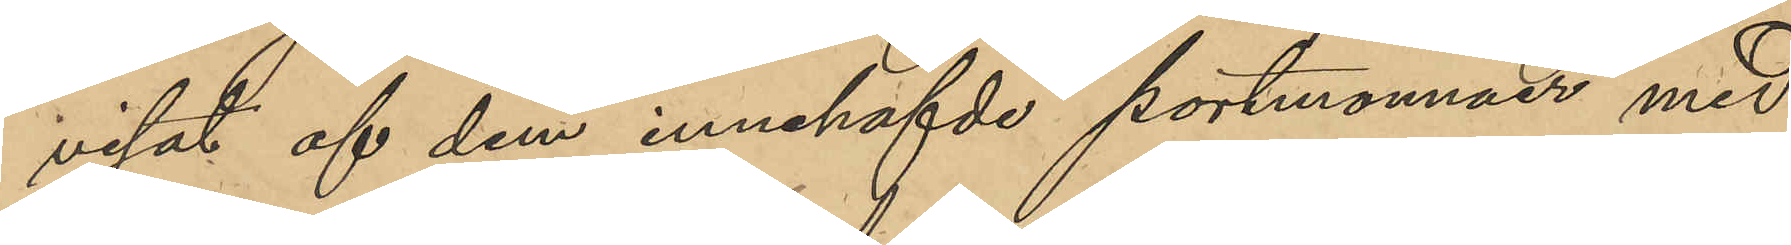visat af dem innehafde portmonnäer med
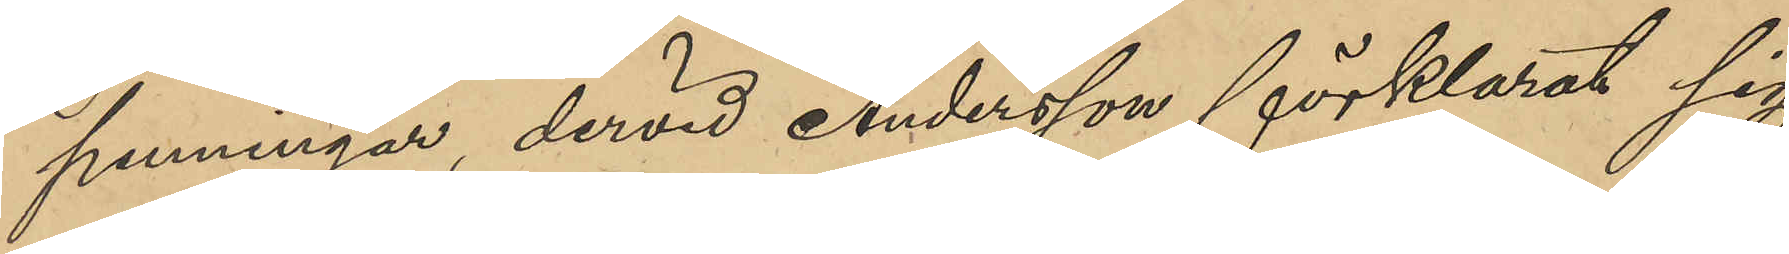penningar, dervid Andersson förklarat sig
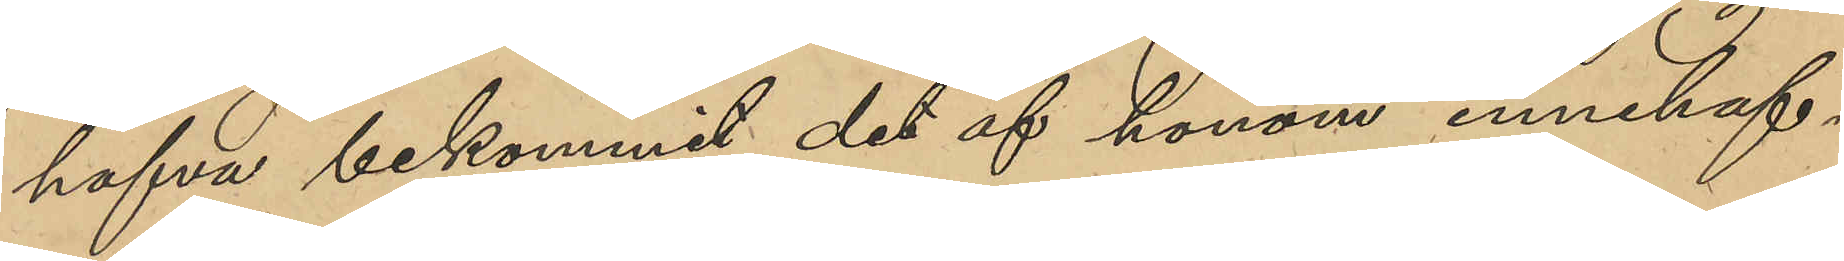hafva bekommit det af honom innehaf¬
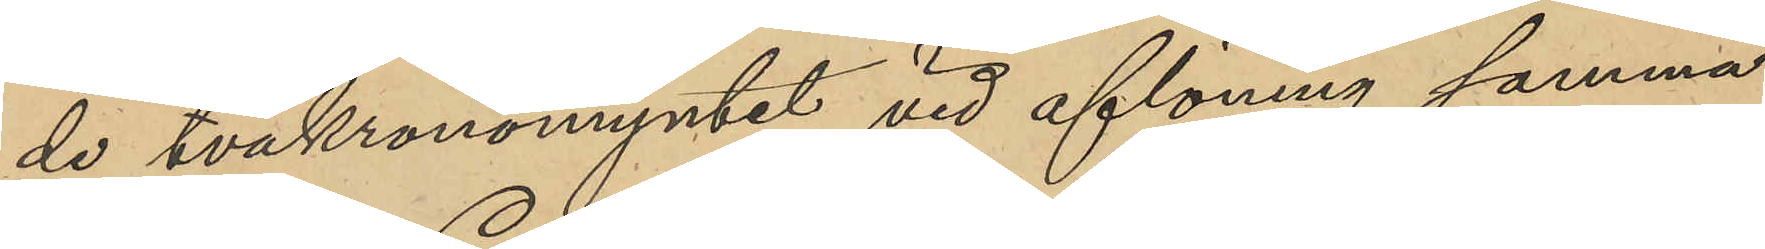de tvåkronomyntet vid aflöning samma
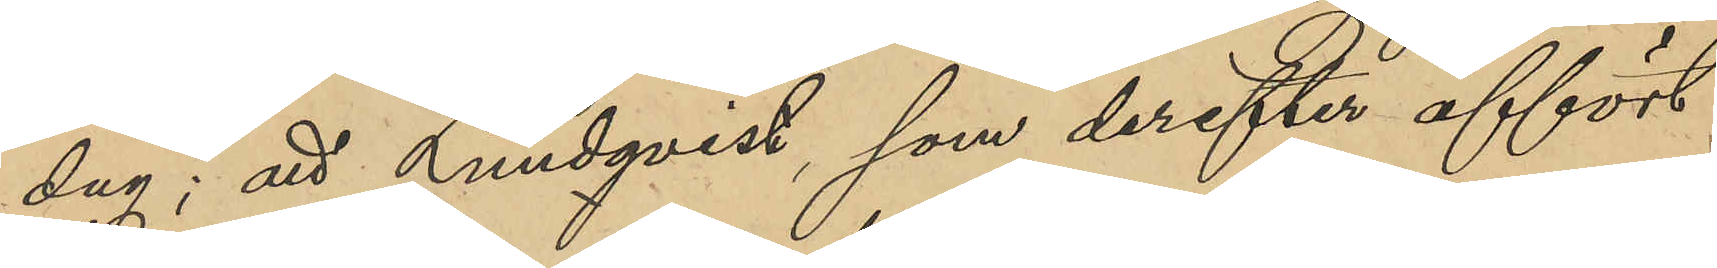dag; att Lundqvist, som derefter affört
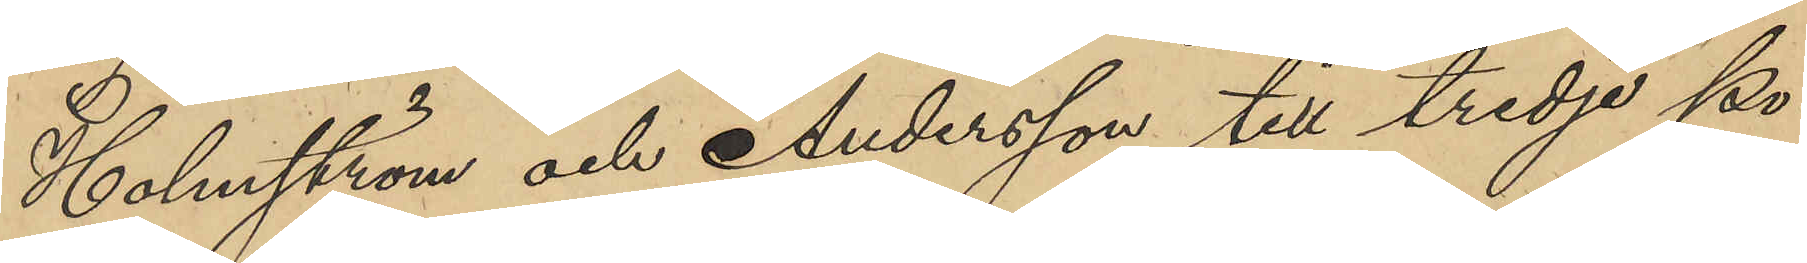Holmström och Andersson till tredje Po¬
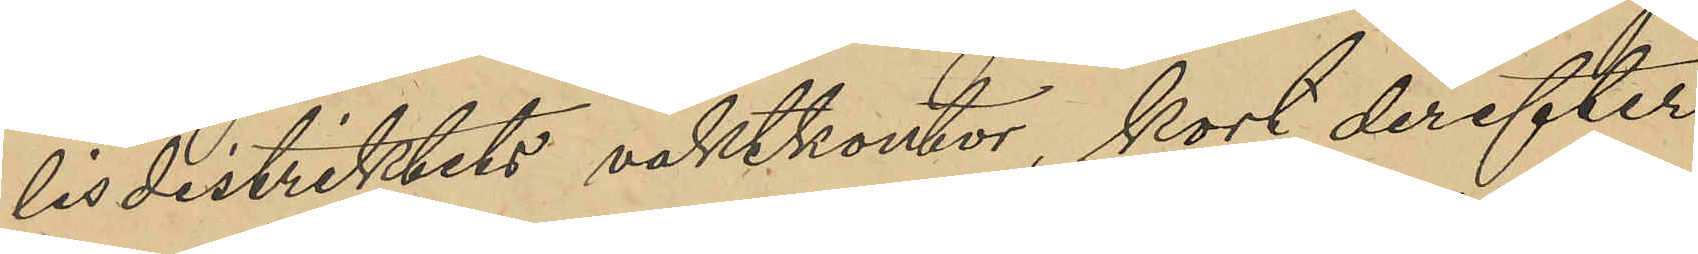lisdistriktets vaktkontor, kort derefter
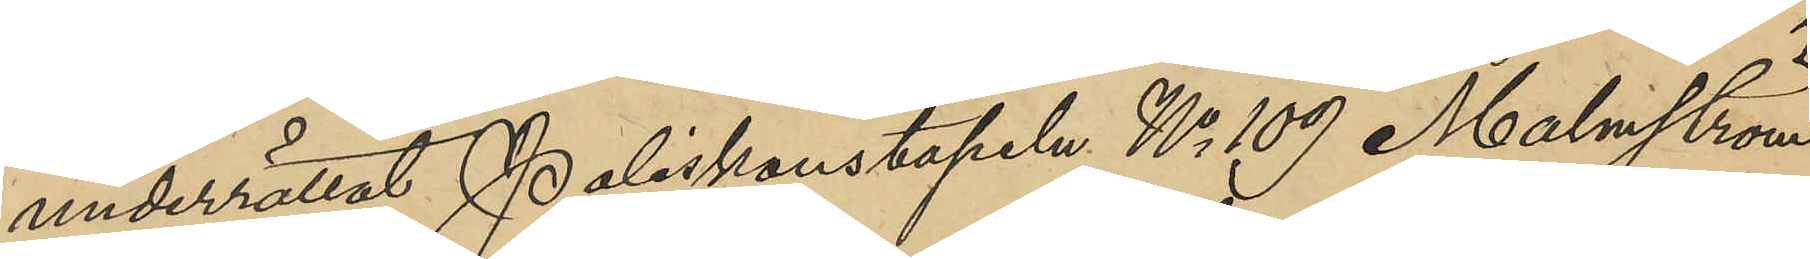underrättat Poliskonstapeln No 109 Malmström
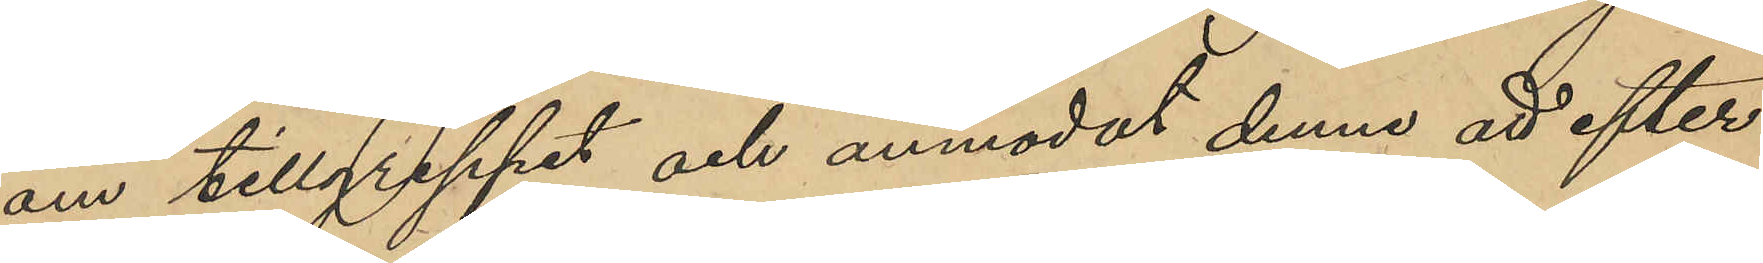om tillgreppet och anmodat denne att efter¬
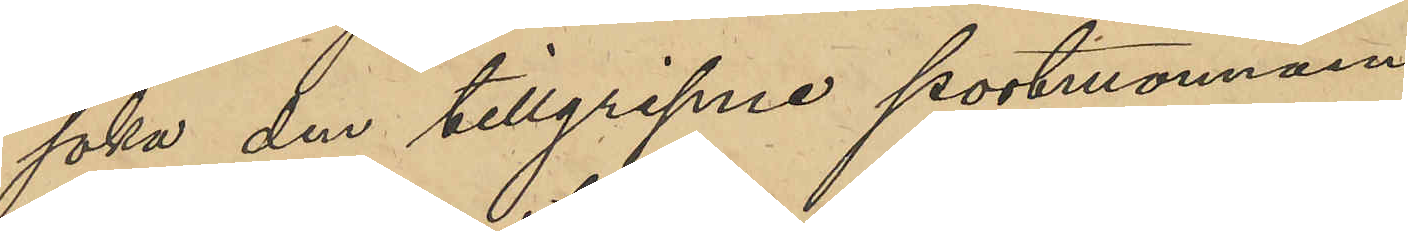söka den tillgripne portmonnäen.
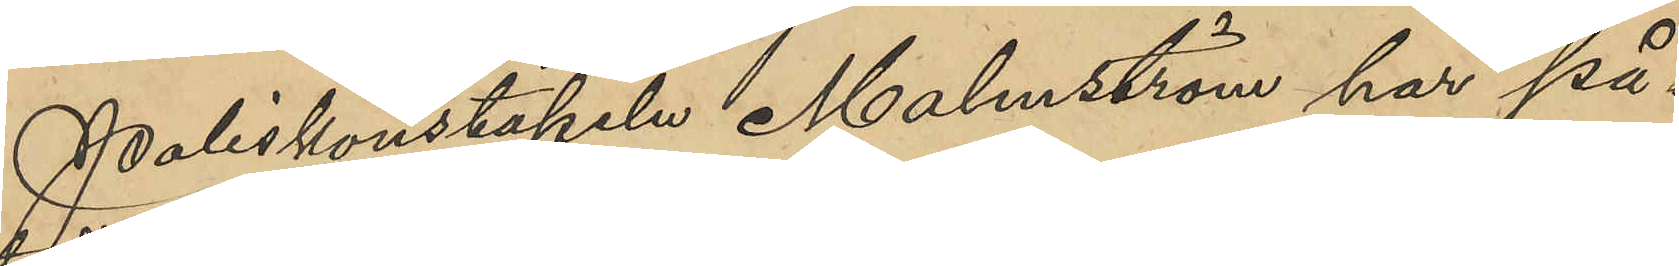Poliskonstapeln Malmström har på¬
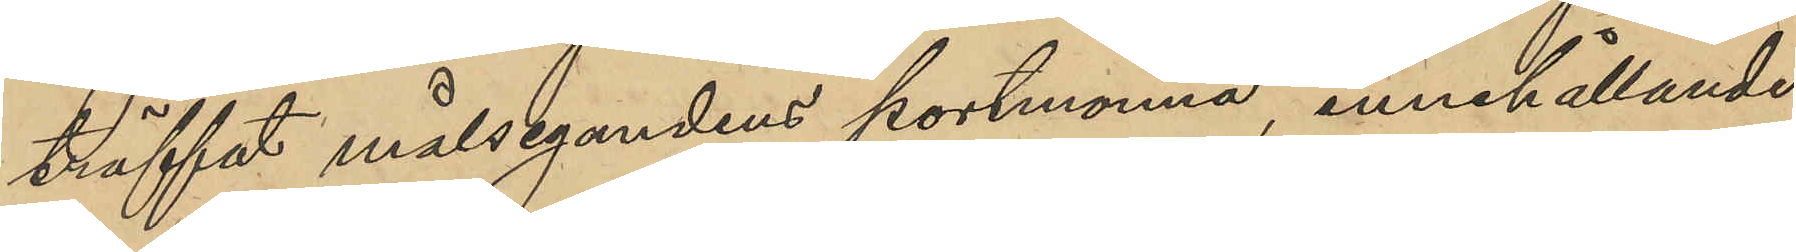träffat målsegandens portmonnä, innehållande
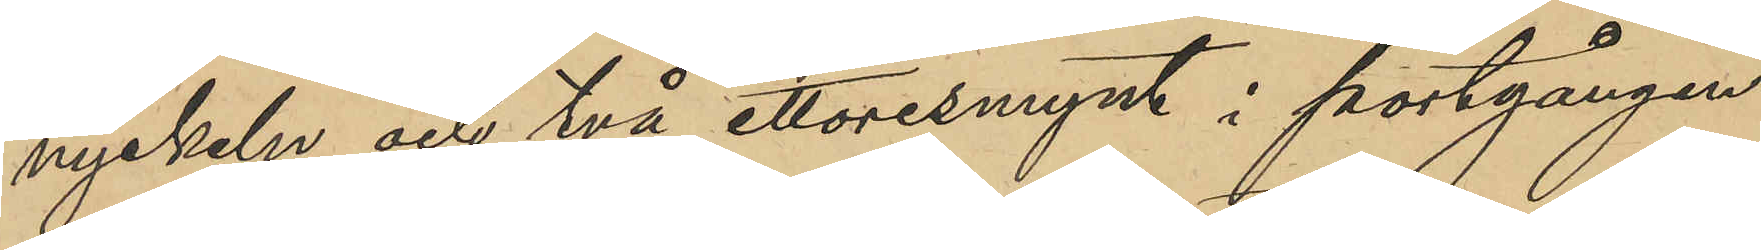nyckeln och två ettöresmynt i portgången
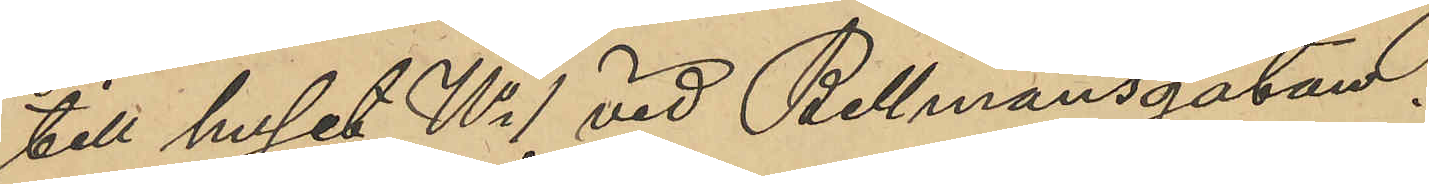till huset No 1 vid Bellmansgatan.
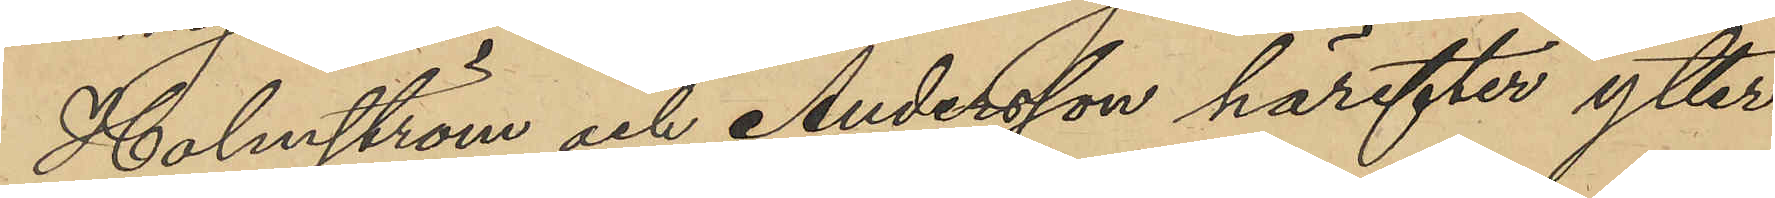Holmström och Andersson härefter ytter¬
